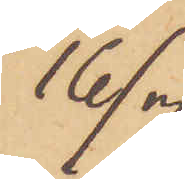16/7
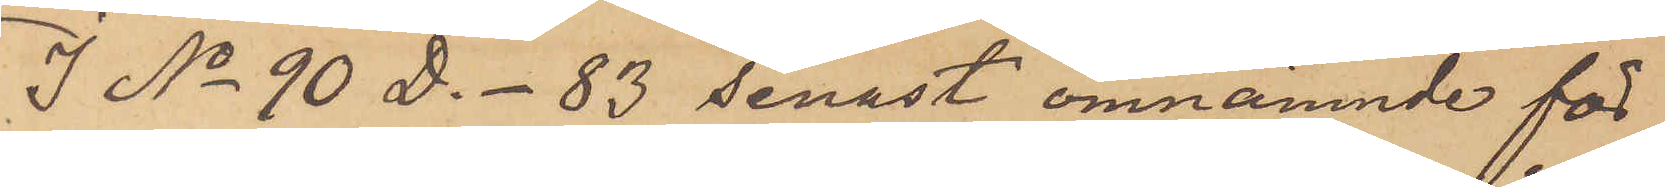I No 90 D. - 83 senast omnämnde för
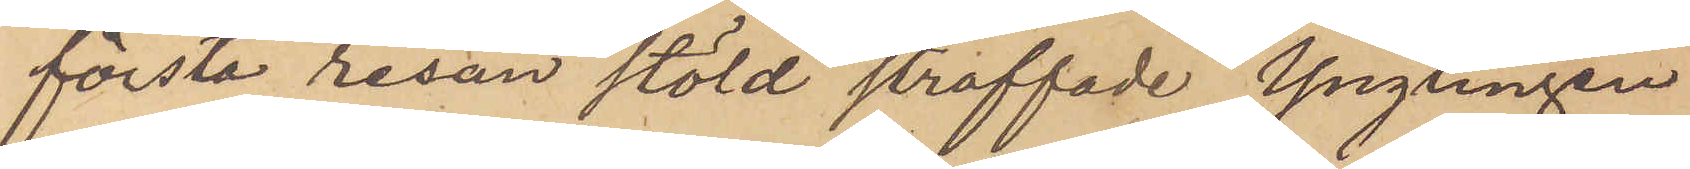första resan stöld straffade Ynglingen
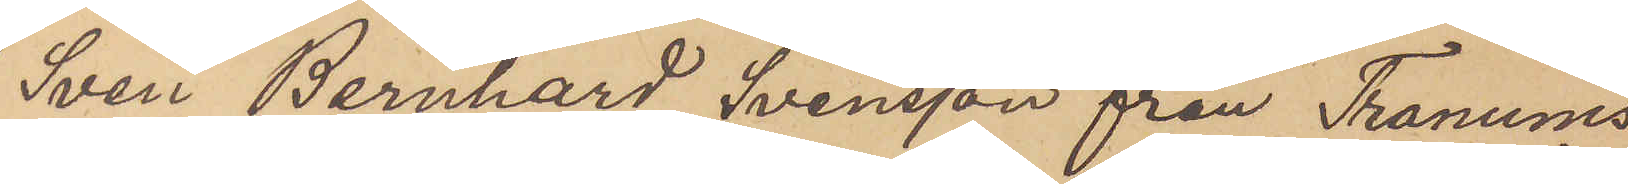Sven Bernhard Svensson från Tranums
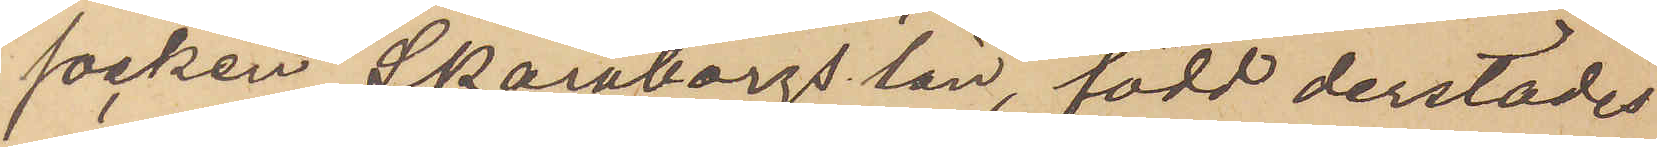socken Skaraborgs län, född derstädes
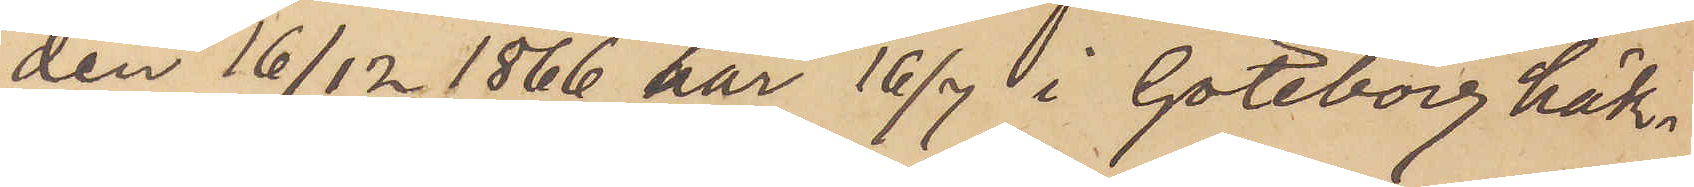den 16/12 1866 har 16/7 i Göteborg häk¬
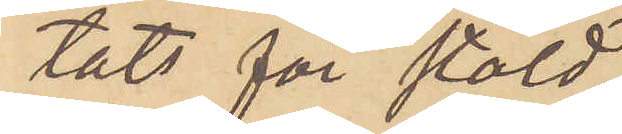tats för stöld.
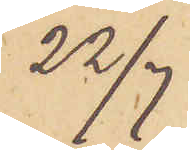22/7
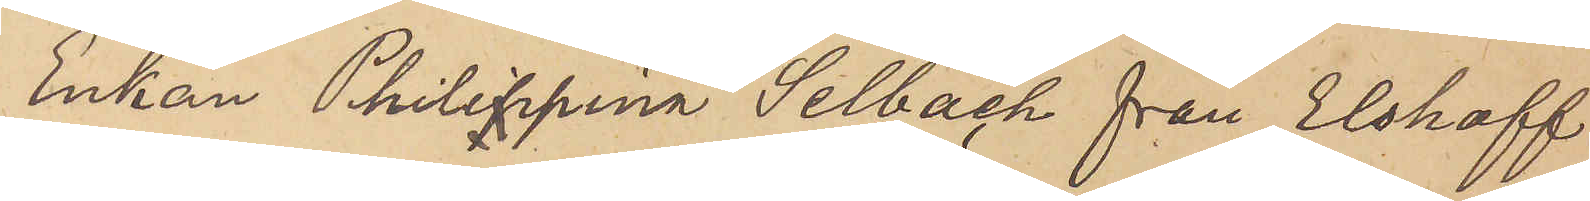Enkan Philippina Selbach från Elshaff
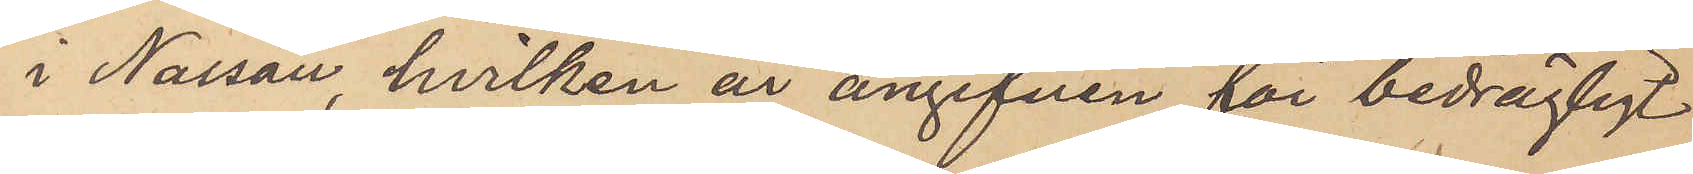i Nassau, hvilken är angifven för bedrägligt
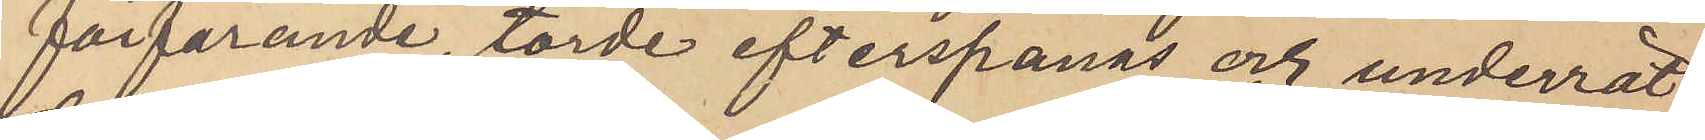förfarande, torde efterspanas och underrät¬
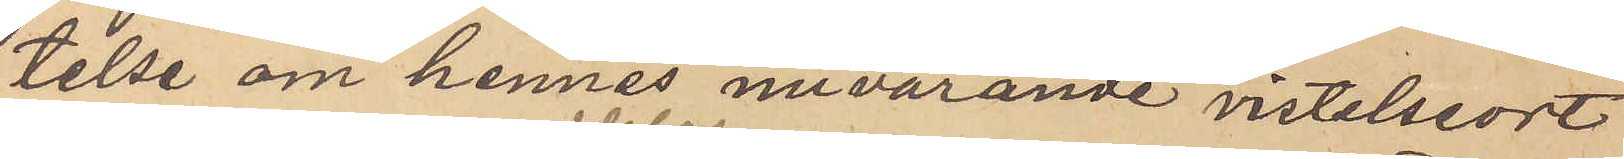telse om hennes nuvarande vistelseort
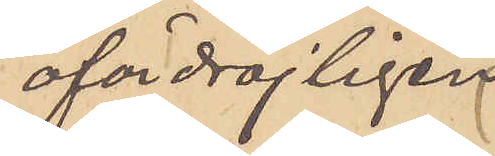ofördröjligen
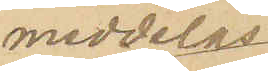meddelas
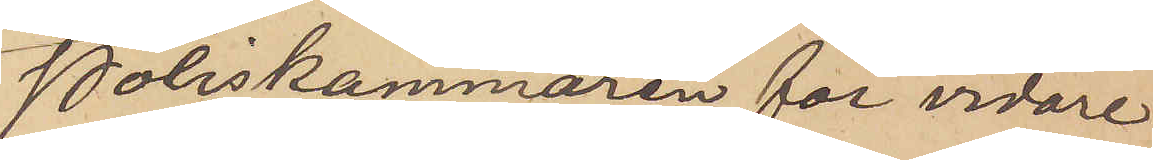Poliskammaren för vidare
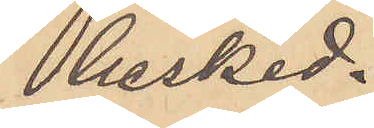besked.
